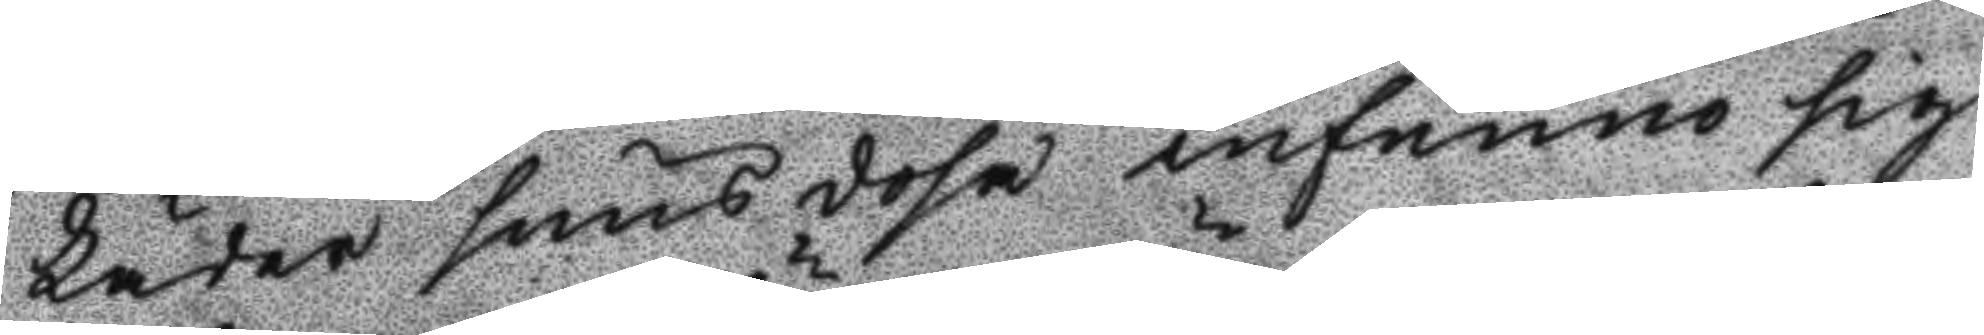Läder snusdosa infunno sig
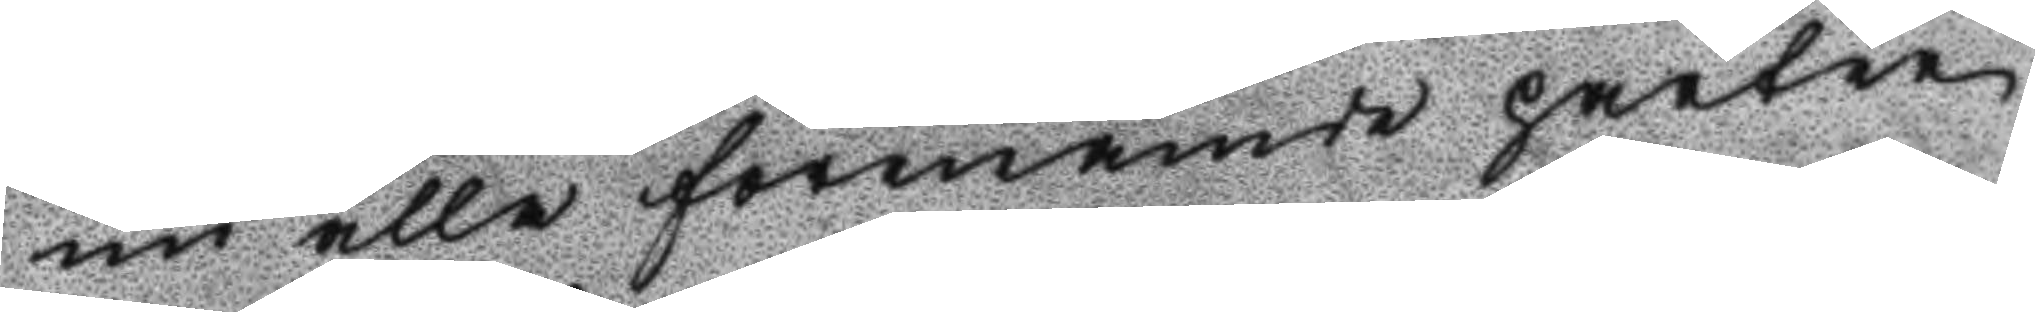nu alla förenämde parter
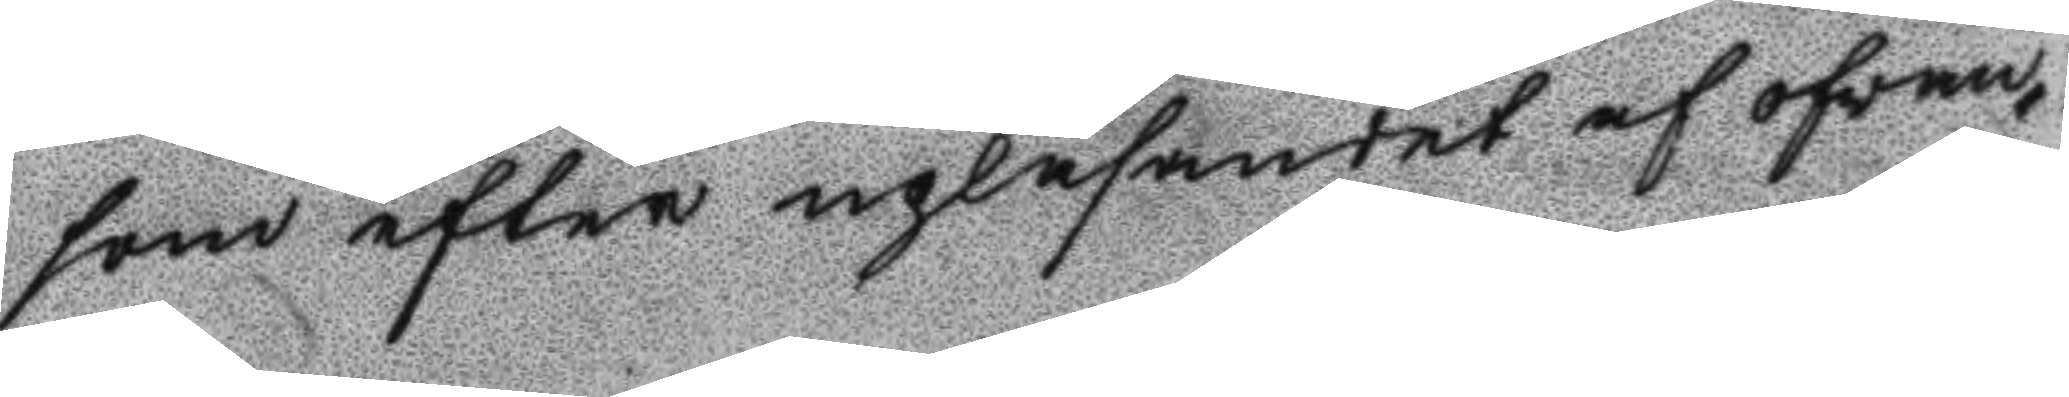som efter upläsandet af ofwan¬
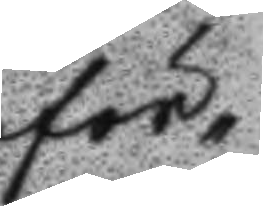för¬
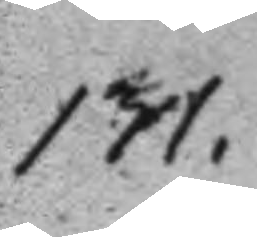131.
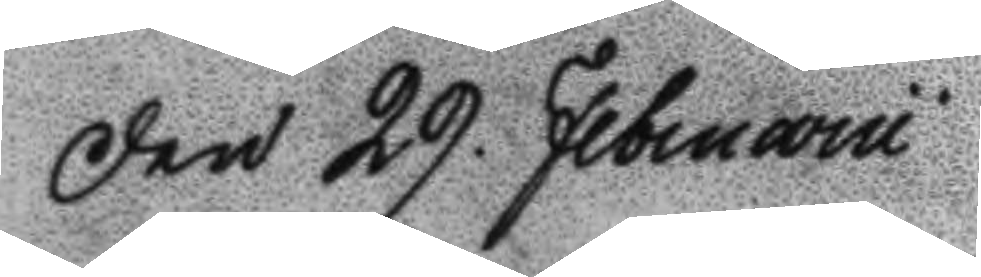Den 29. Februarii
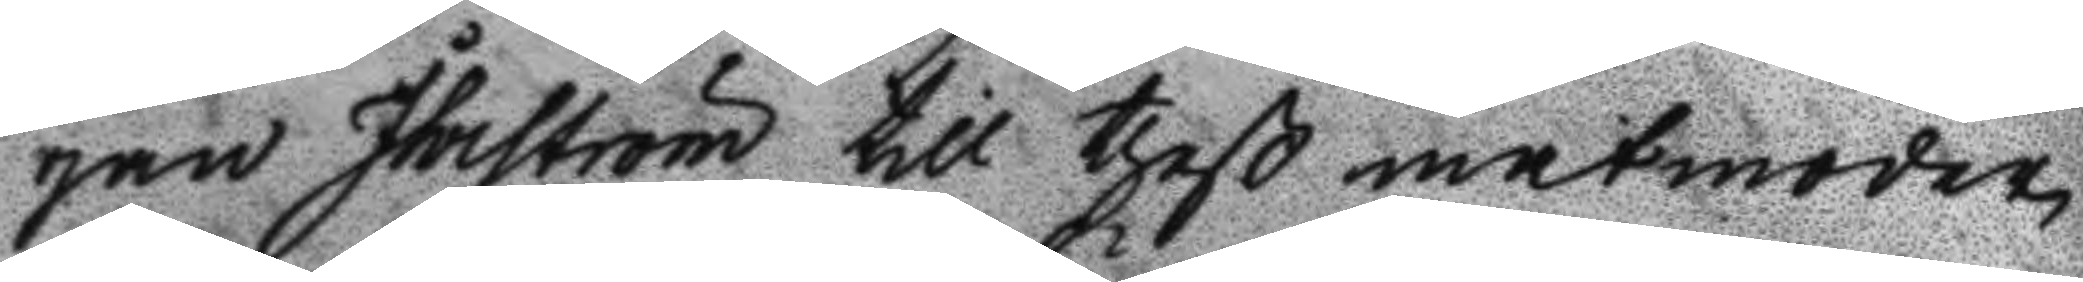gan Ihrström till theß matmoder
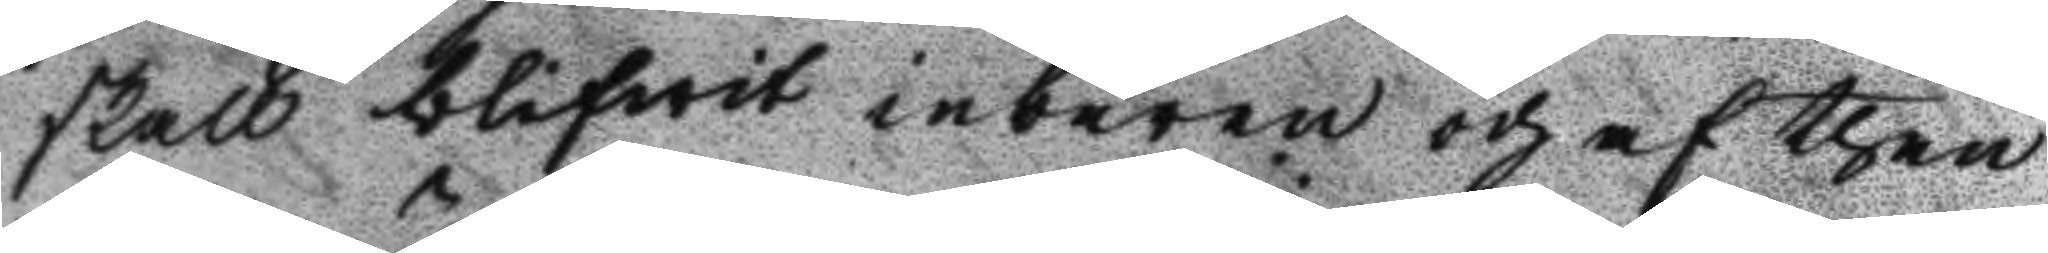skall blifwit inbburen och af then
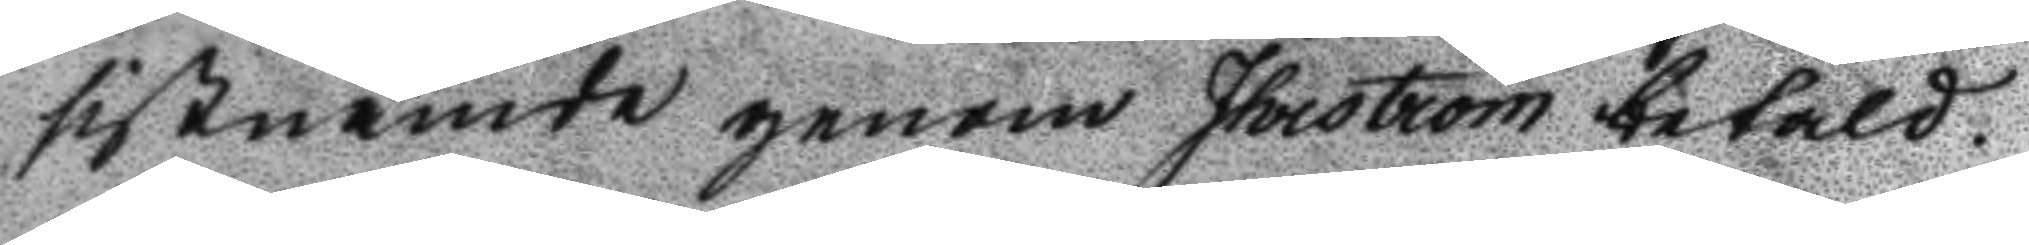sistnämde genom Ihrström betald.
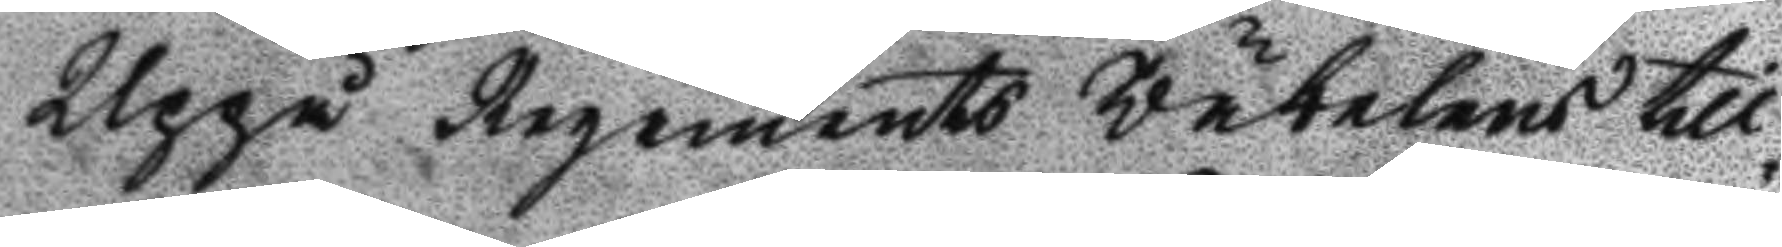Uppå Regements Väbelens till¬
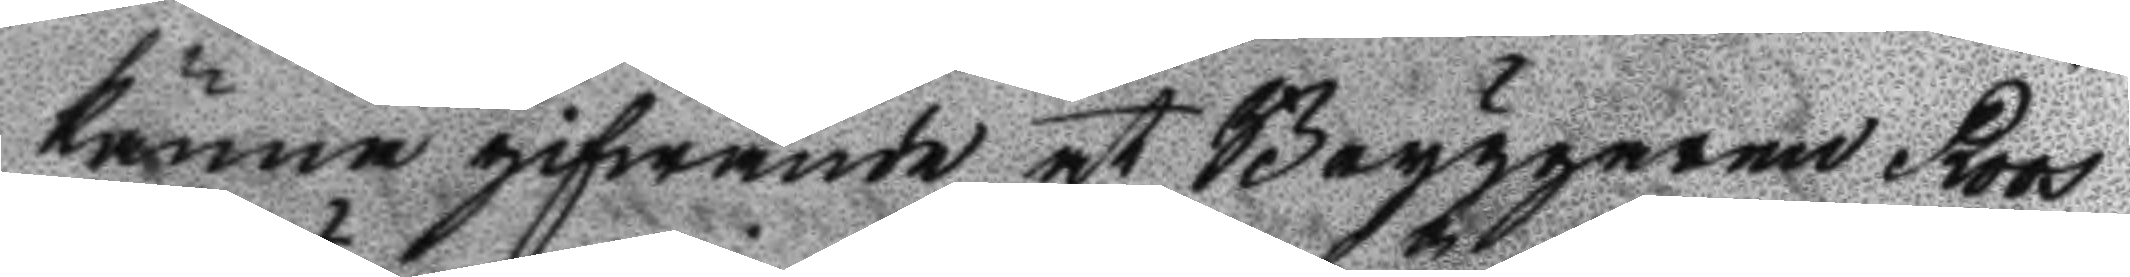känna gifwande et Bryggaren Roos
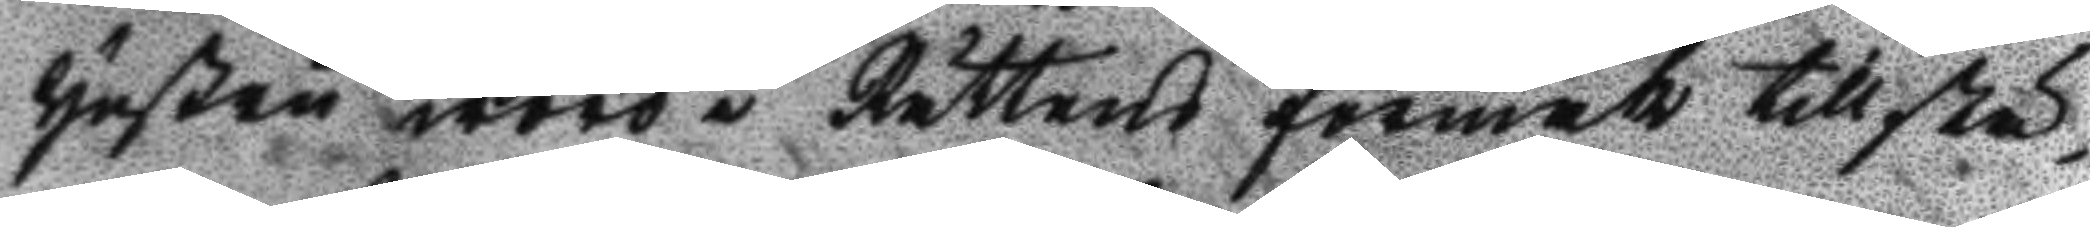Hustru woro i Rättens förmak tillstä¬
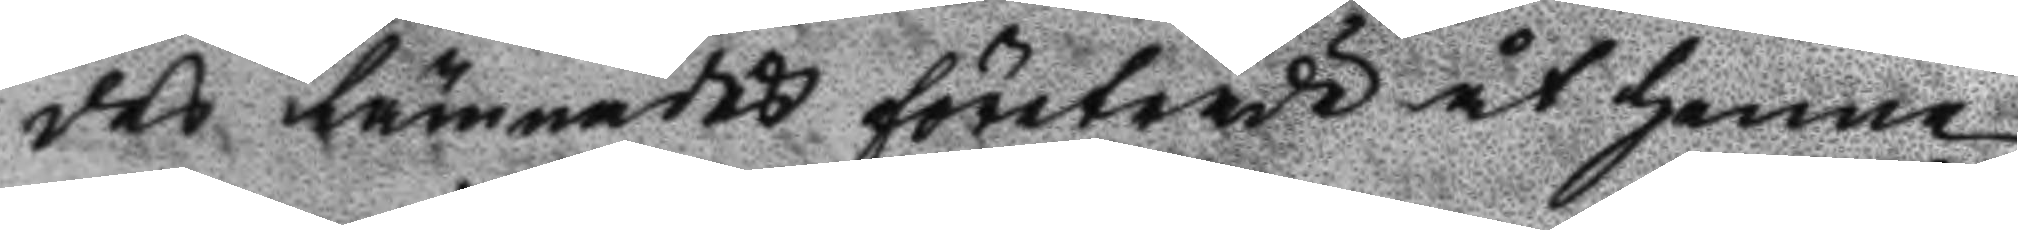des lämnades företräde åt henne
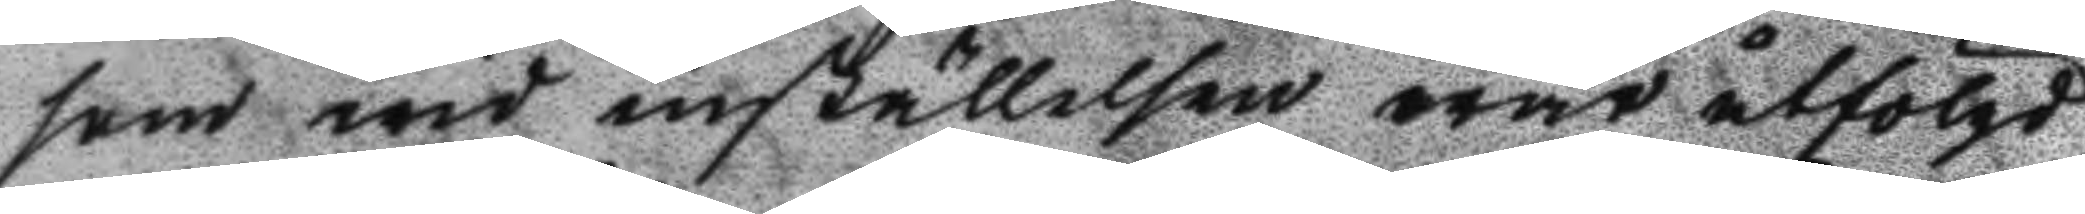som wid inställelsen war åtförlgd
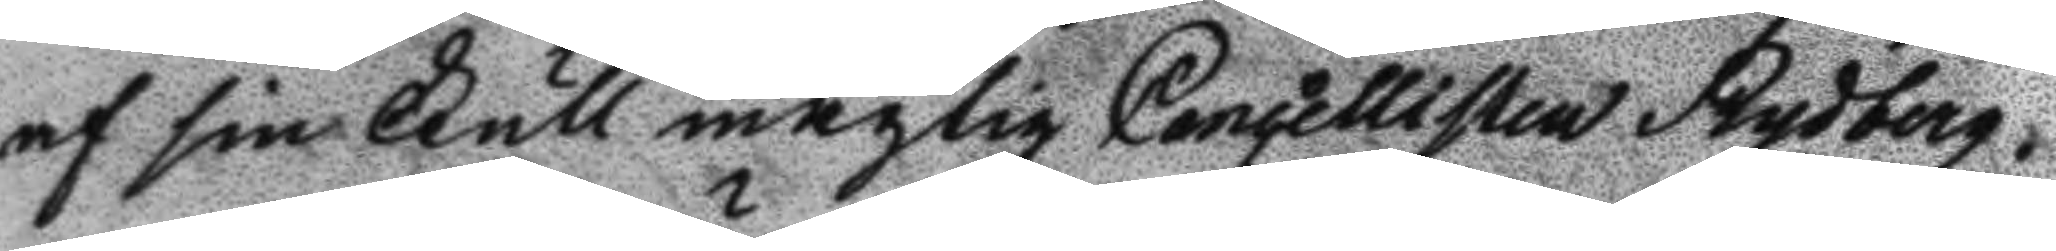af sin Fullmägtig Cancellisten Rydberg.
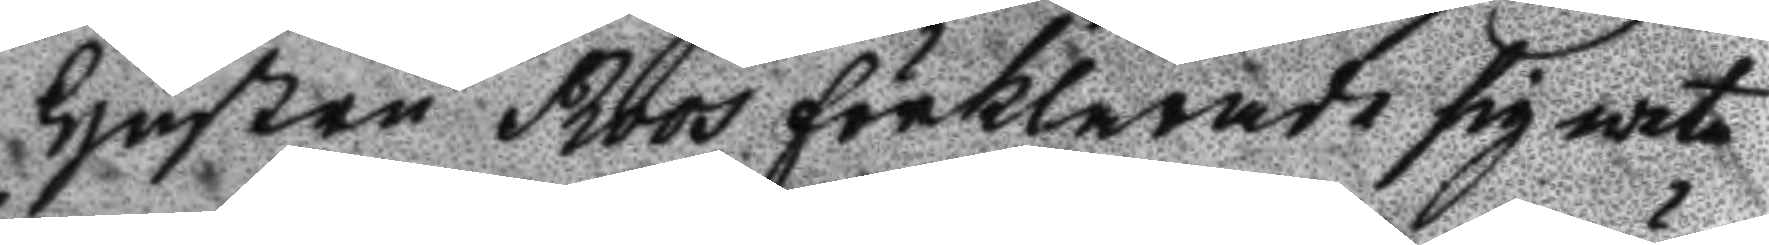Hustru Roos förklarade sig weta
